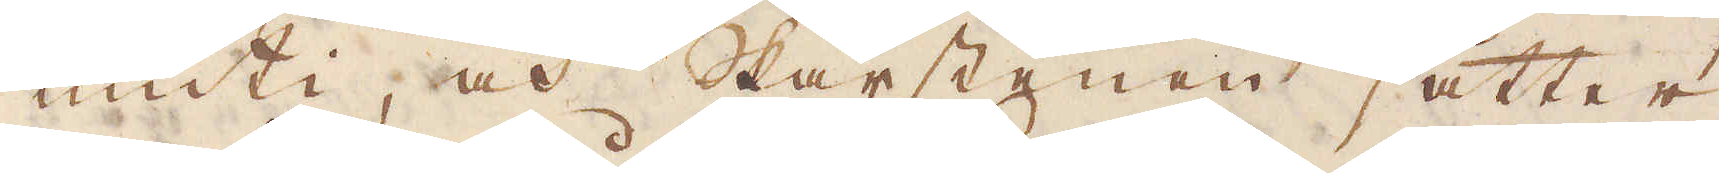inuti, och Skärstenen sätter
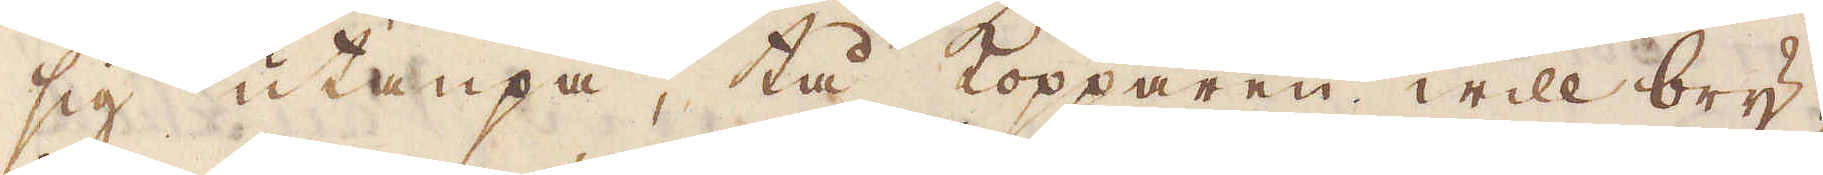sig utanpå, tå kommaren will bry-
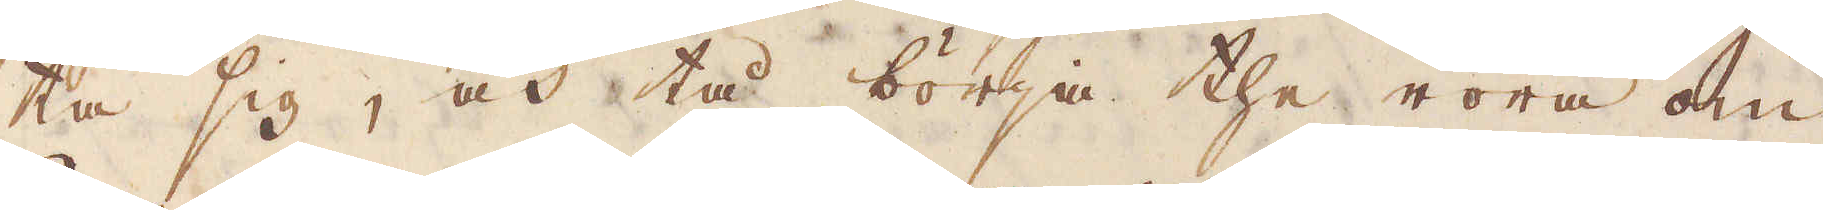ta sig, och tå börja the röra om
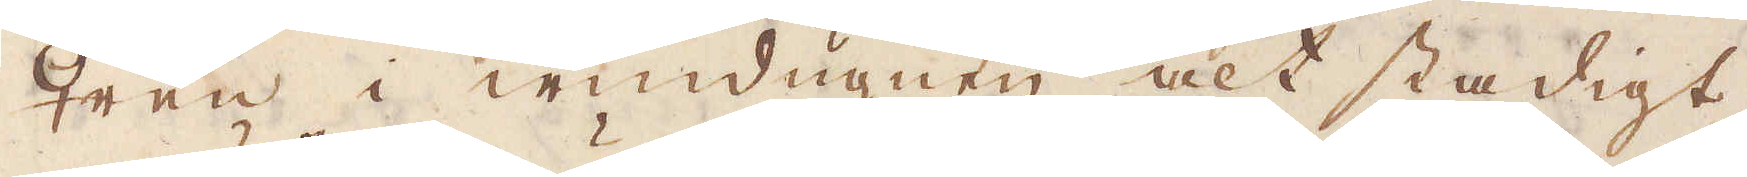♀ren i windugnen alt stadigt
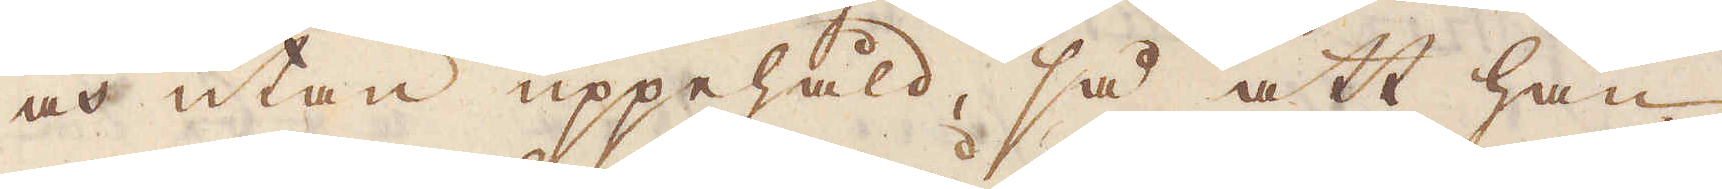och utan uppehåld, så att han
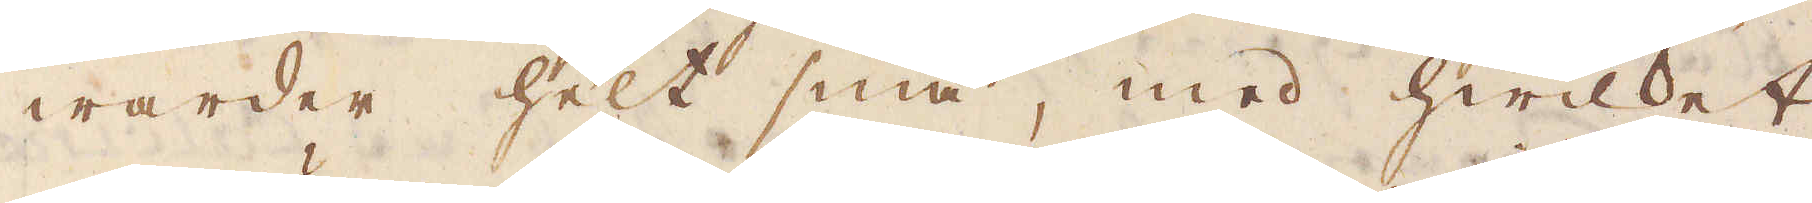warder helt små, med hwilket
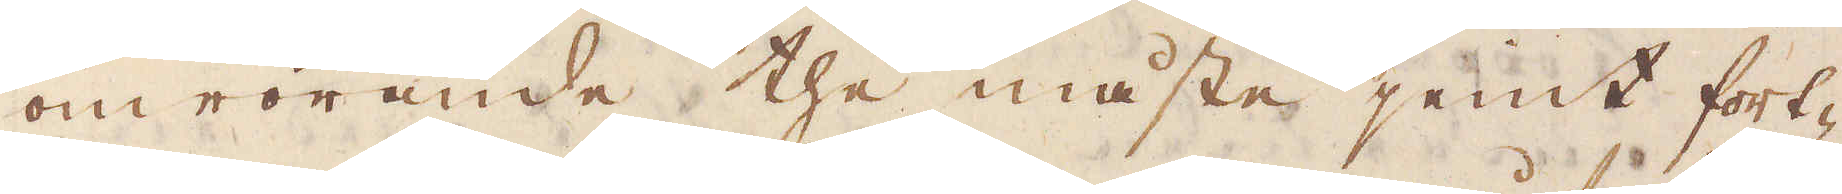omrörande the måste hemt fort-
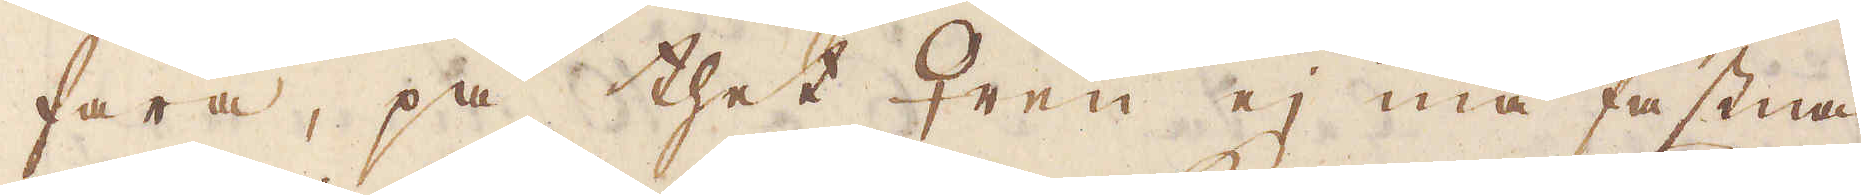fara, på thet ♀ren ej må fastna
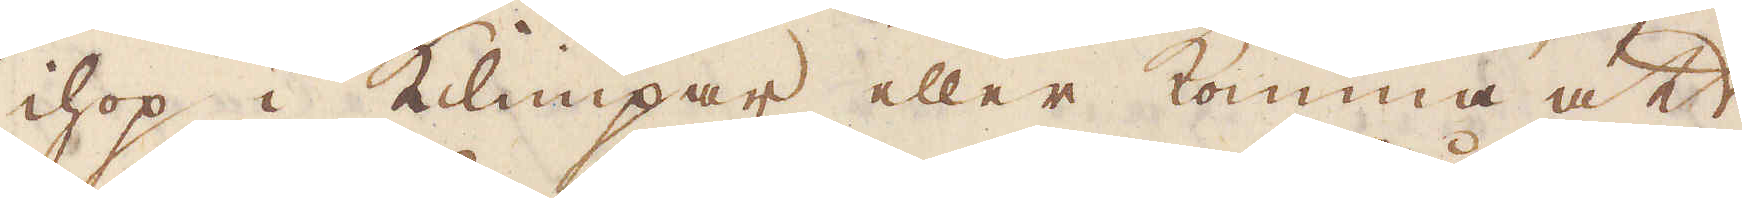ihop i klimpar eller komma att
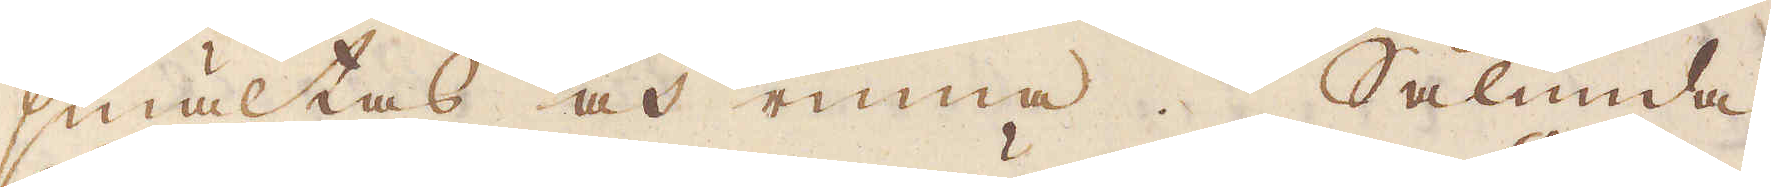smältas och rinna. Sålunda
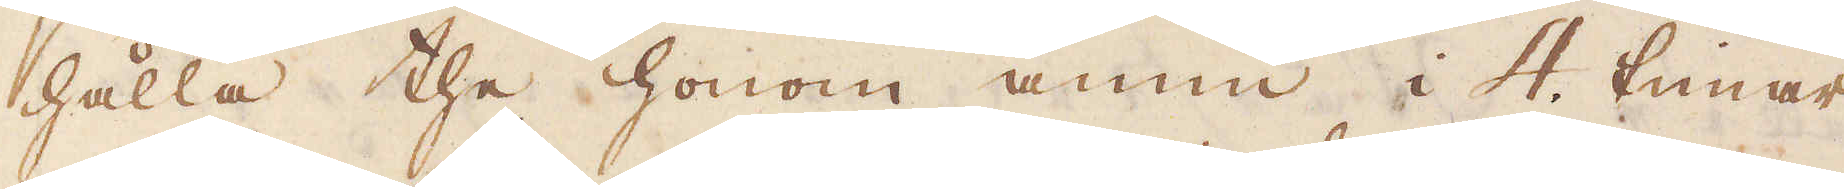hålla the honom ännu i 4. timar
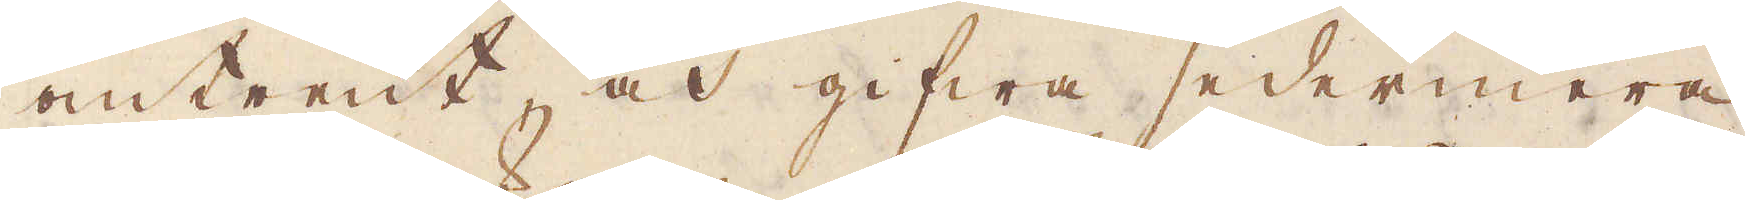omtrent och gifwa sedermera
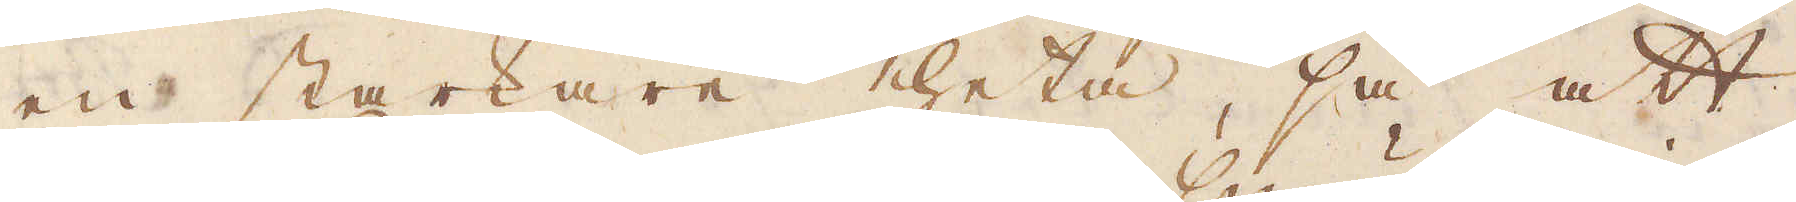en starkare heta, så att
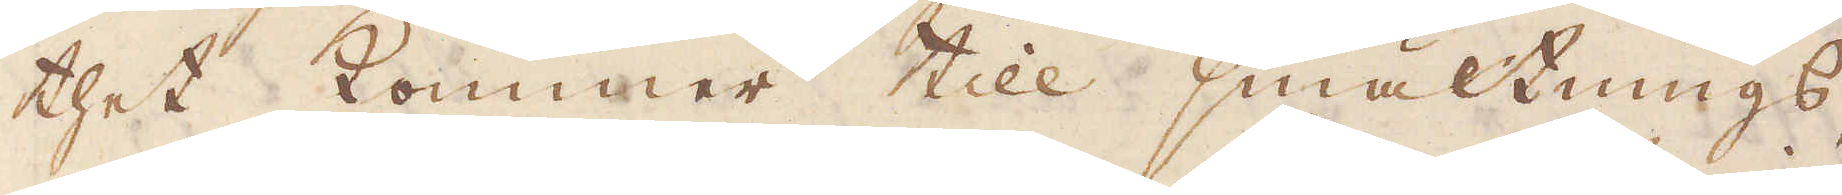thet kommer till smältnings,
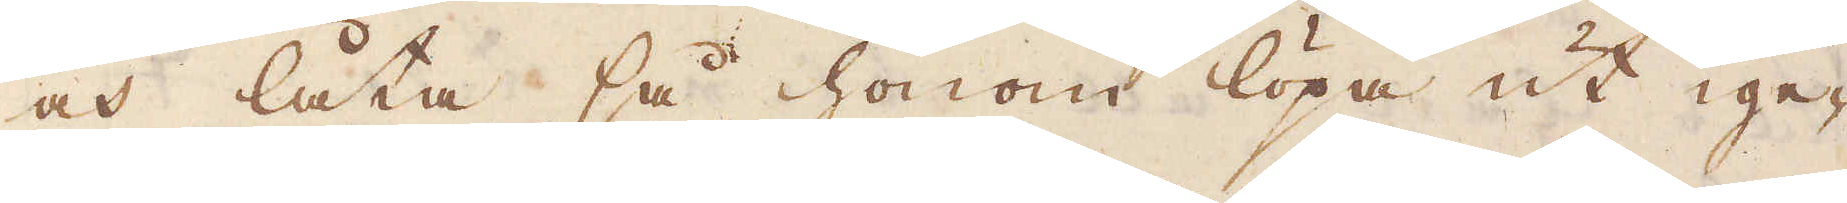och låta så honom löpa ut ige-
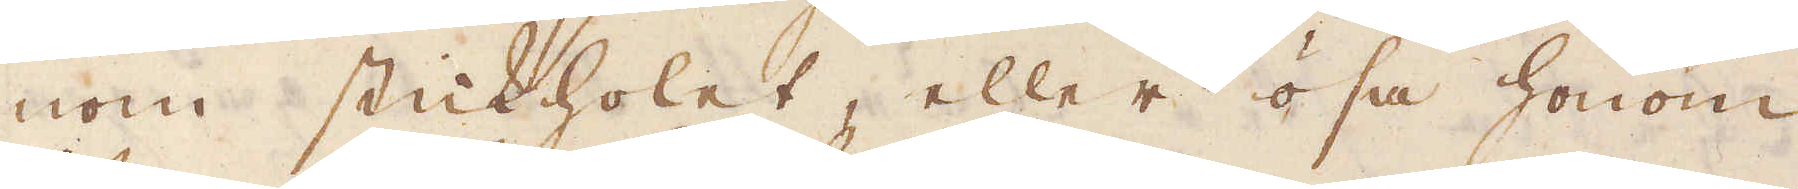nom stickholet, eller ösa honom
